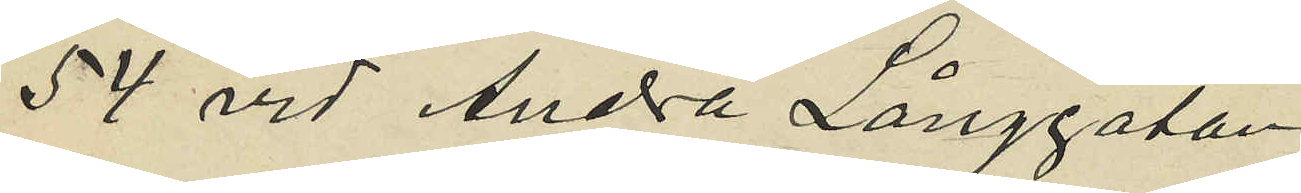54 vid Andra Långgatan;
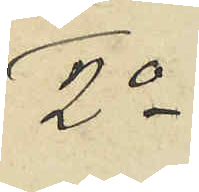2o
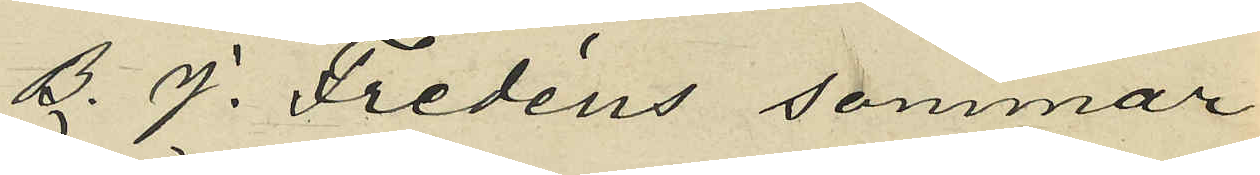B. J. Fredéns sommar¬
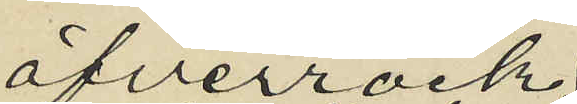öfverrock
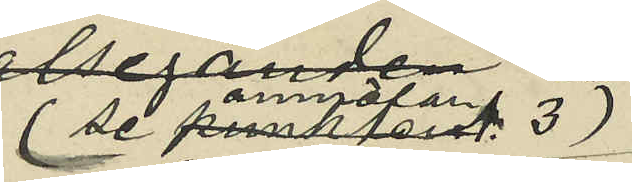(se anmälan 3)
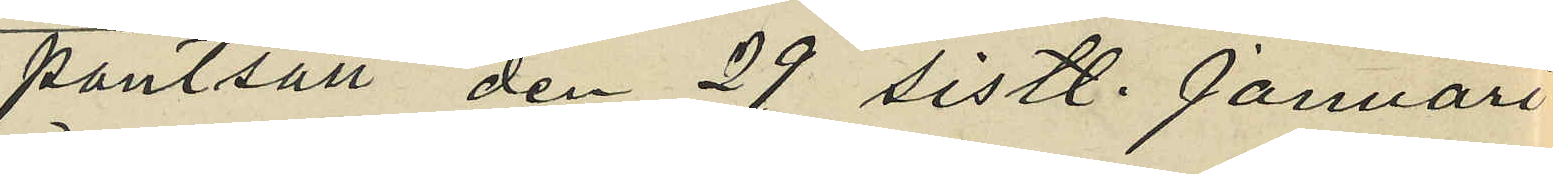pantsatt den 29 sistl. Januari
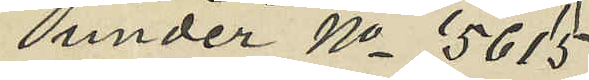under No 5615
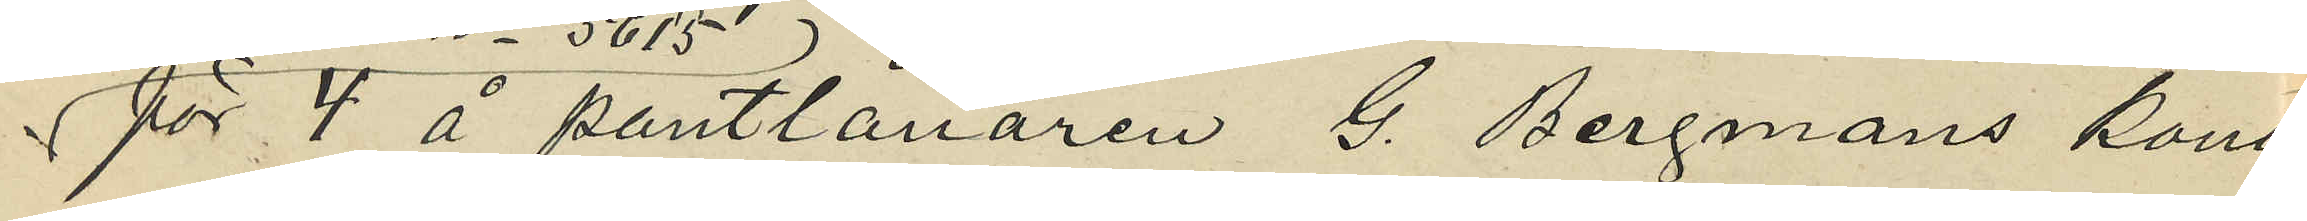för 4 å pantlånaren G. Bergmans kontor
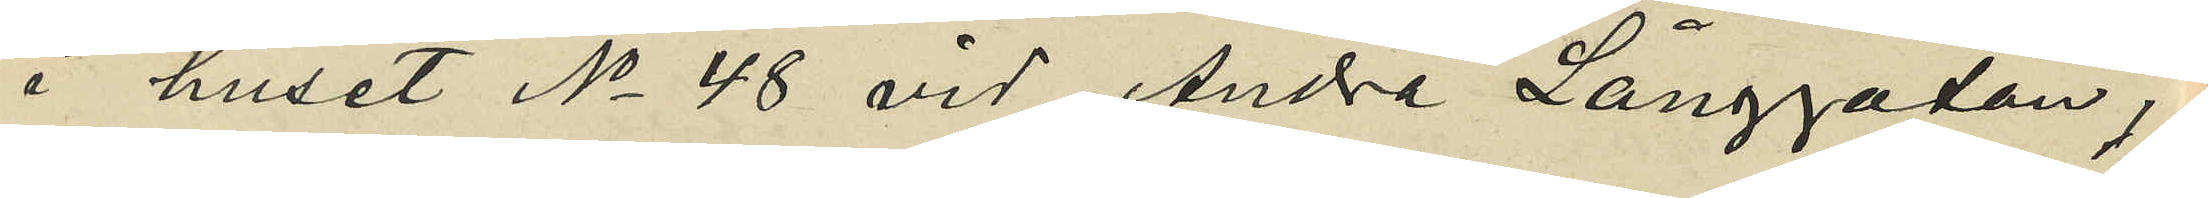i huset No 48 vid Andra Långgatan,
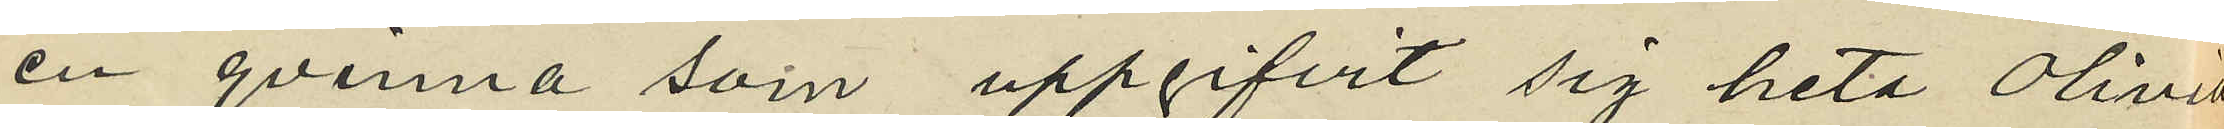en qvinna som uppgifvit sig heta Olivia
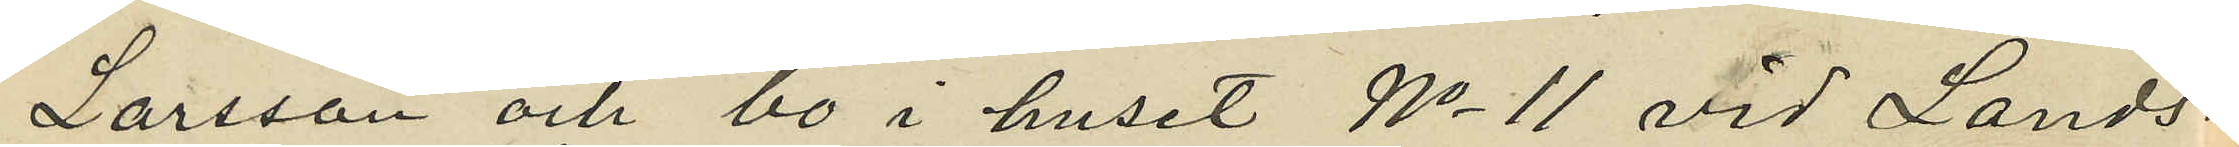Larsson och bo i huset No 11 vid Lands¬
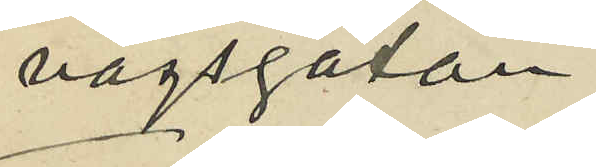vägsgatan.
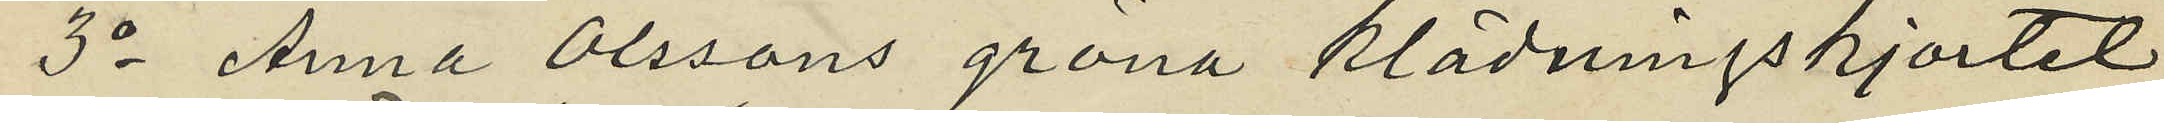3o Anna Olssons gröna klädningskjortel
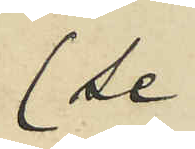(se
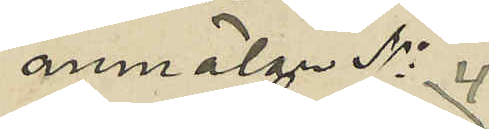anmälan No 4)
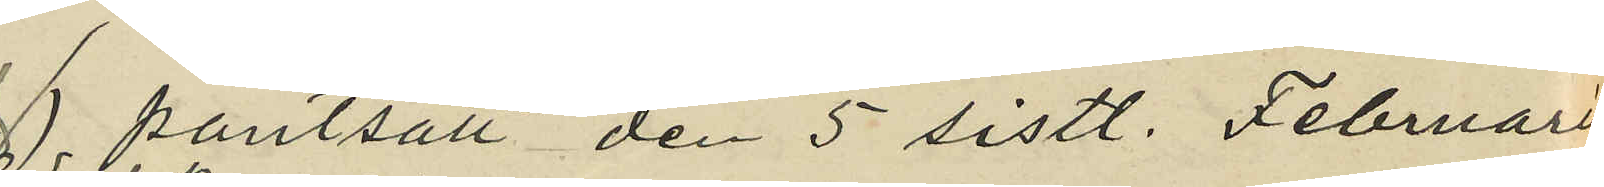 pantsatt den 5 sistl. Februari
